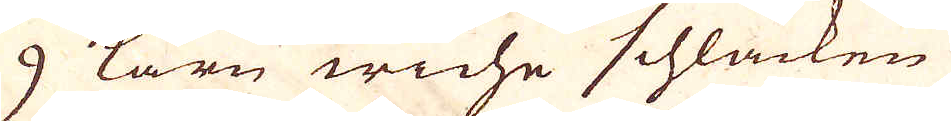9 Karn weche schläcken
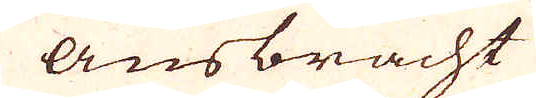Ausbracht
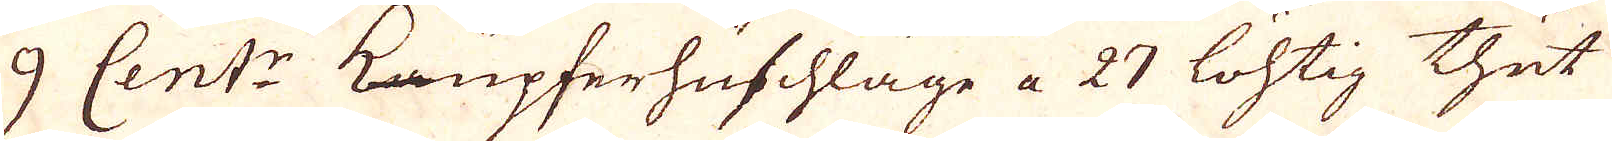9 Cent:r Kupferhuschlage a 27 löhtig thut
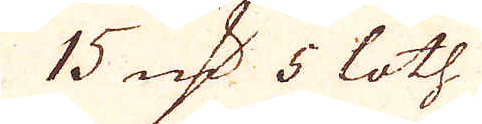15 qv:r 5 loth.
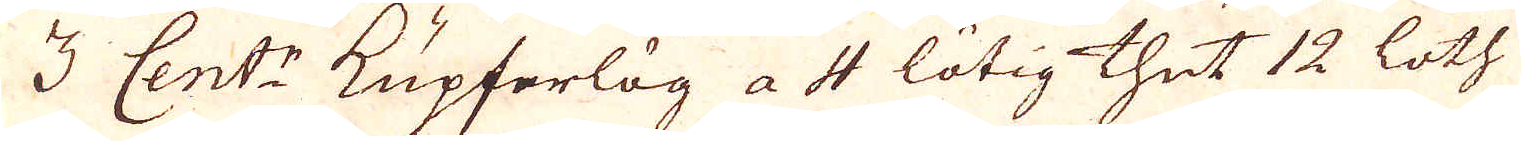3 Cent:r Kupferlög a 4 lötig thut 12 loth
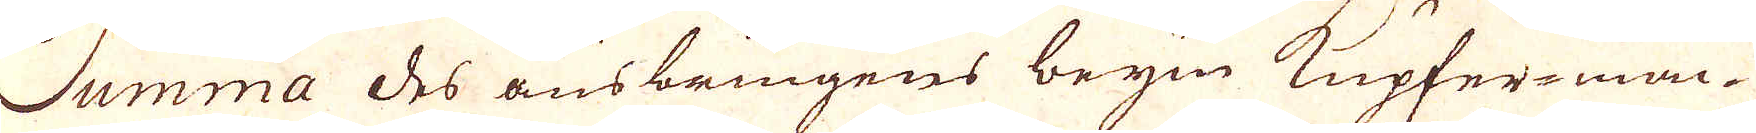Summa des ausbringens beym Kupfer-mac-
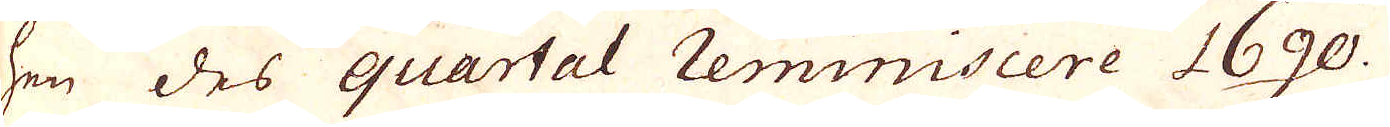hen des quartal reminiscere 1690.
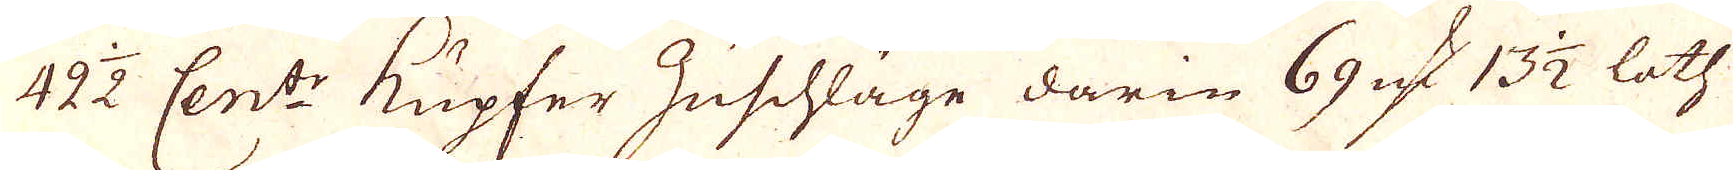42 1/2 Cent:r Kupfer Zuschläge darin 69 qv:r 13 1/2 loth
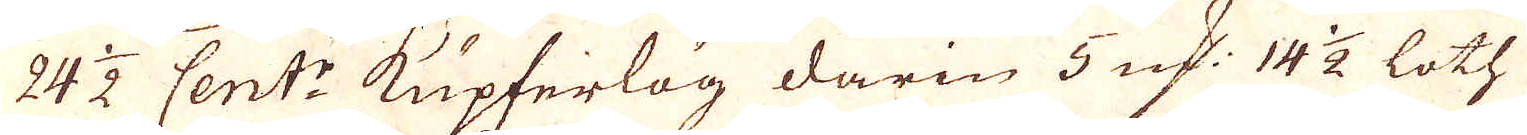24 1/2 Cent:r Kupferlög darin 5 qv:r 14 1/2 loth
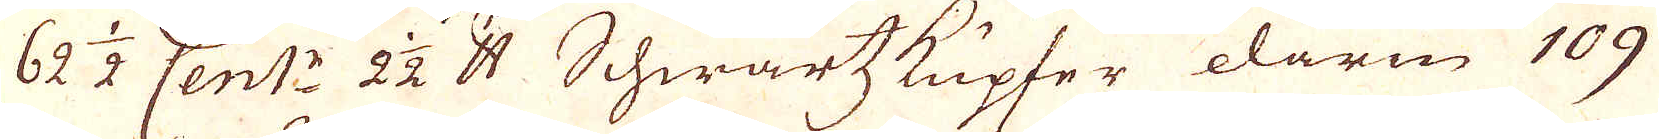62 1/2 Cent:r 2 1/2 skålpund Schwartzkupfer darin 109
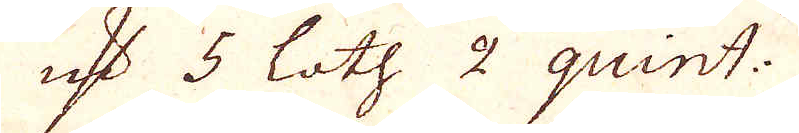qv:r 5 loth 2 quint:
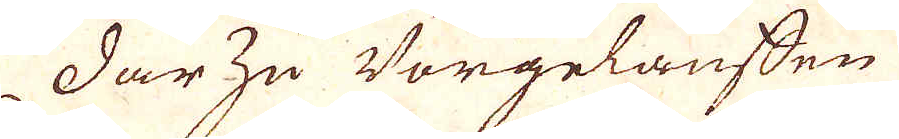Dar zu Vorgelauffen
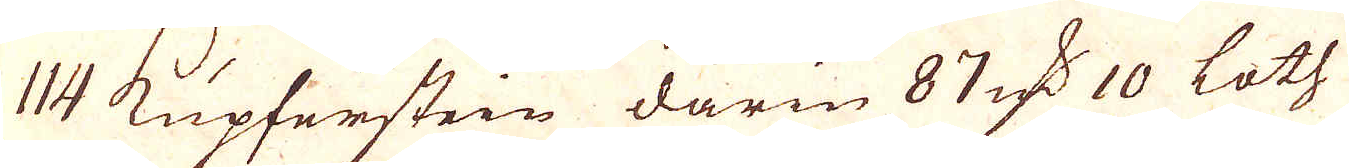114 Kupferstein darin 87 qv:r 10 Loth
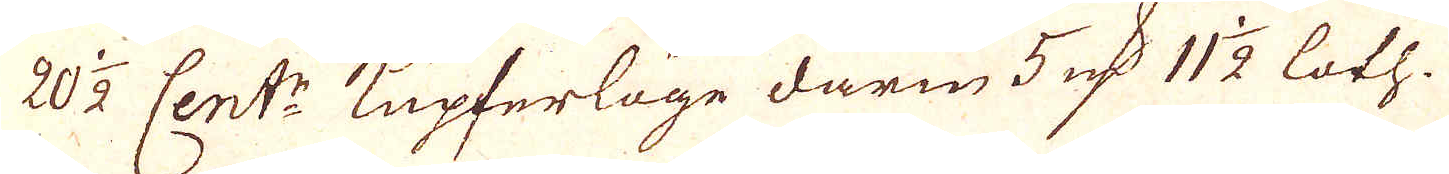20 1/2 Cent:r Kupferläge darin 5 qv:r 11 1/2 loth.
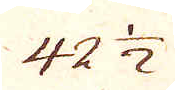42 1/2
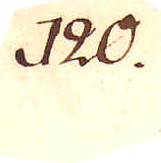120.
